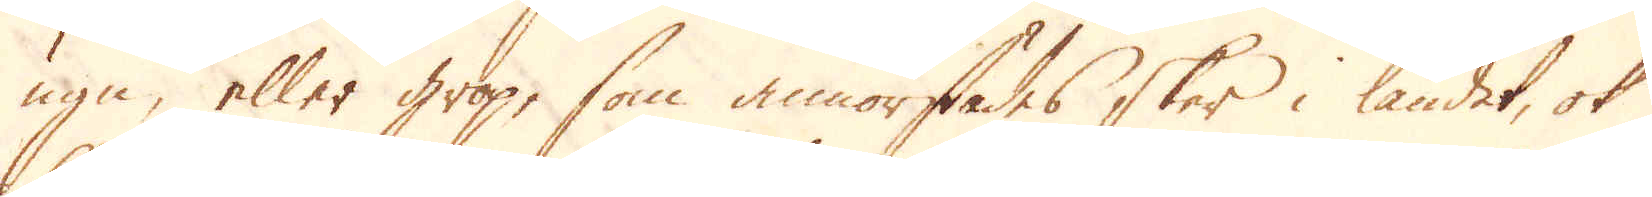ugn, eller grop, som annorstädes sker i landet, ok
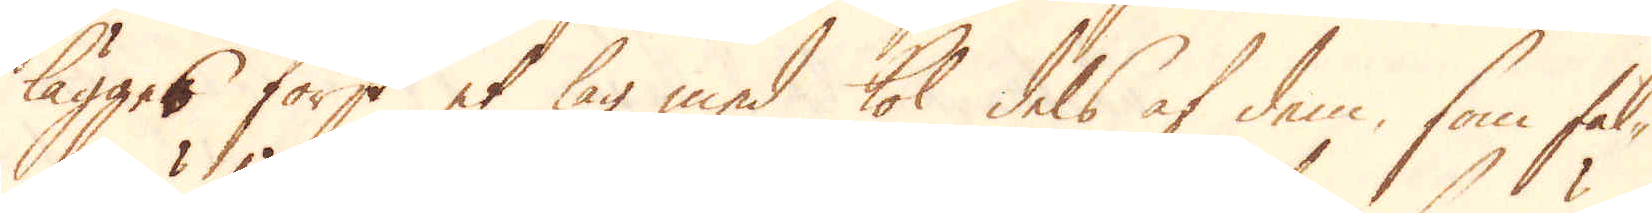lägges först et lag med kol dels af dem, som fal-
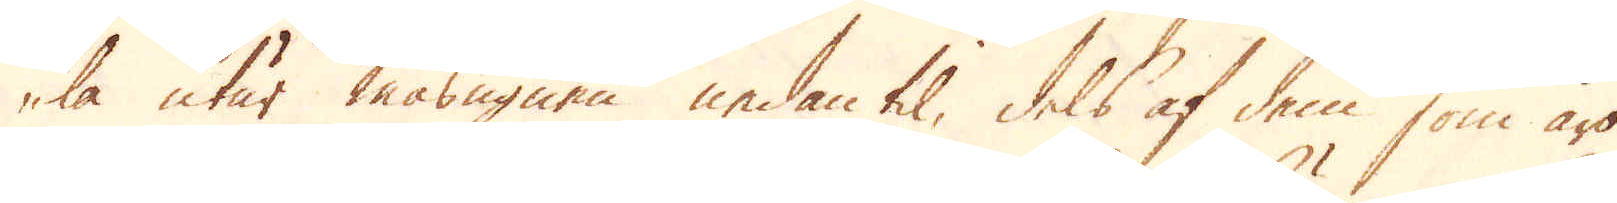la utur masugnen nedantil, dels af dem som äro
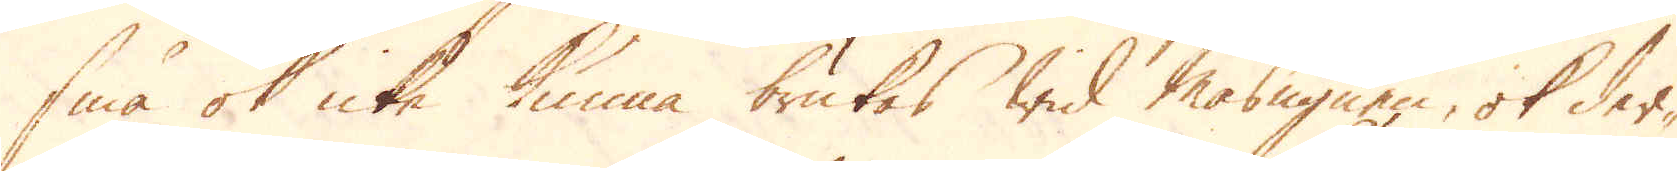små ok icke kunna brukas wid Masugnen, ok der-
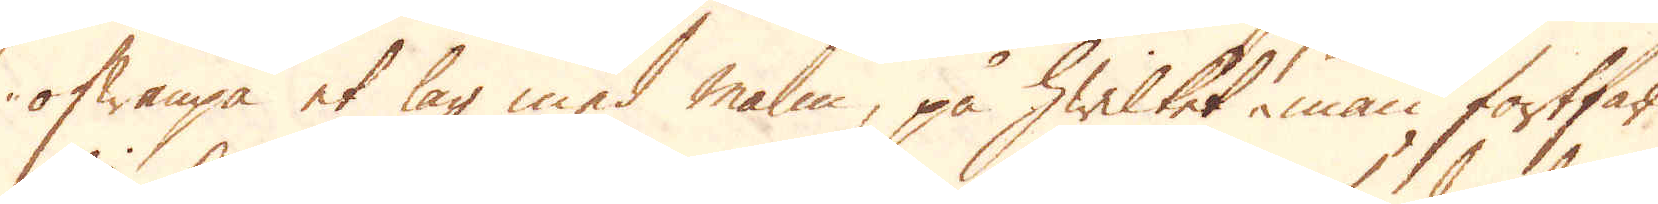ofwanpå et lag med malm, på hwilket man fortfar
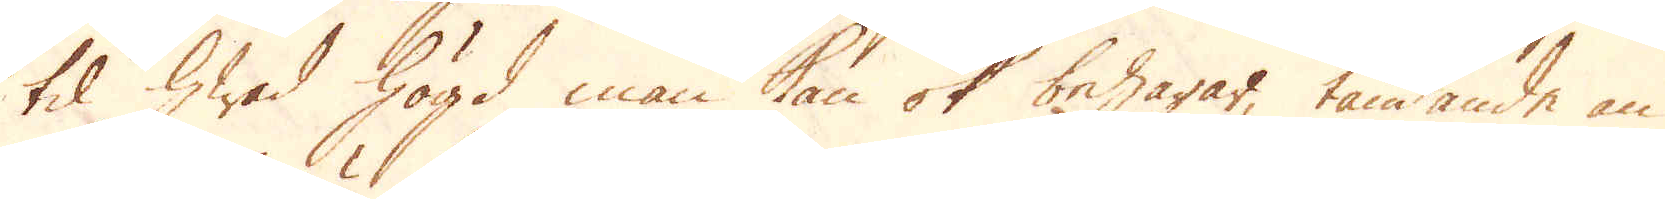til hwad högd man kan ok behagar, tändande an
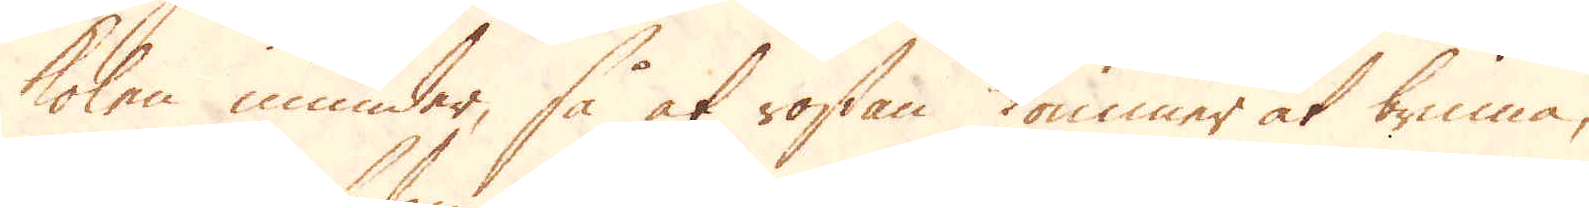kolen inunder, så at rostan kommer at brinna,
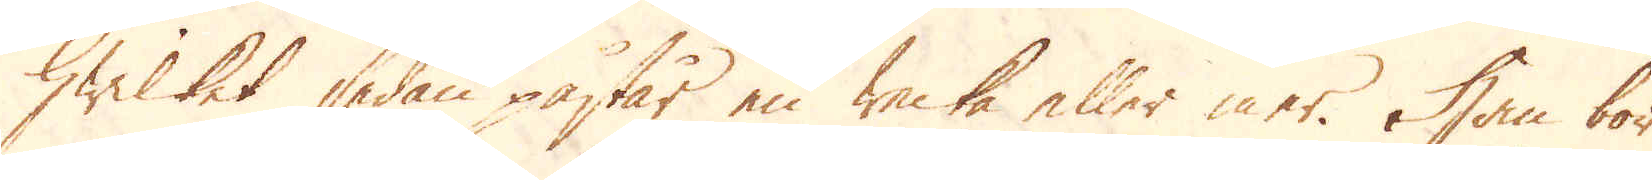hwilket sedan påstår en Wecka eller mer. Han bör
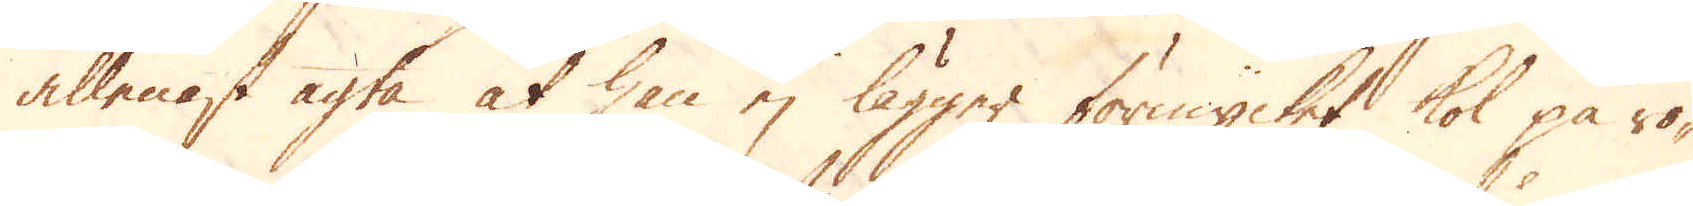allenast agta at han ej lägger för mycket kol på ro-
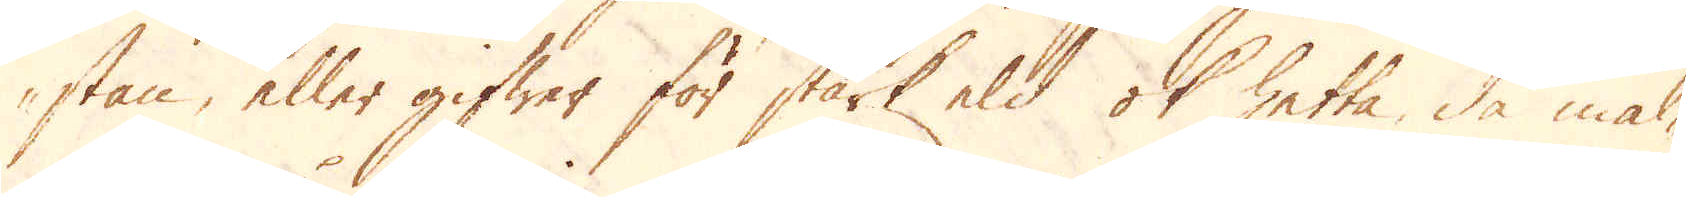stan, eller gifwer för stark eld ok hetta, då mal-
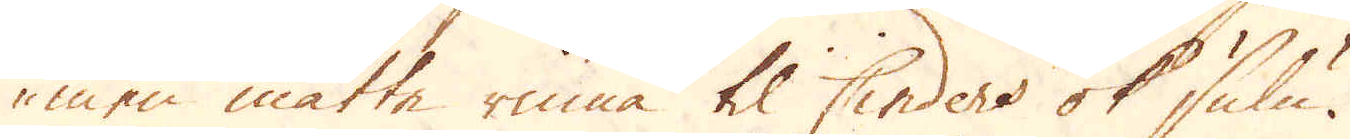men måtte rinna til Cinders ok sulu.
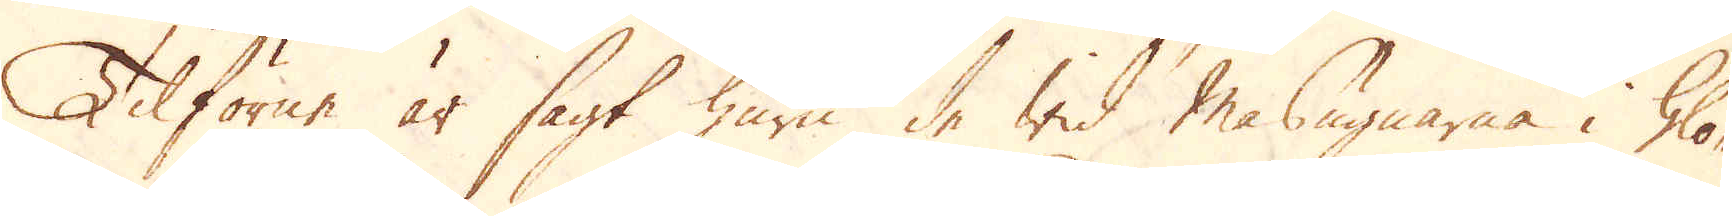Tilförne är sagt huru de wid Masugnarna i Glo-
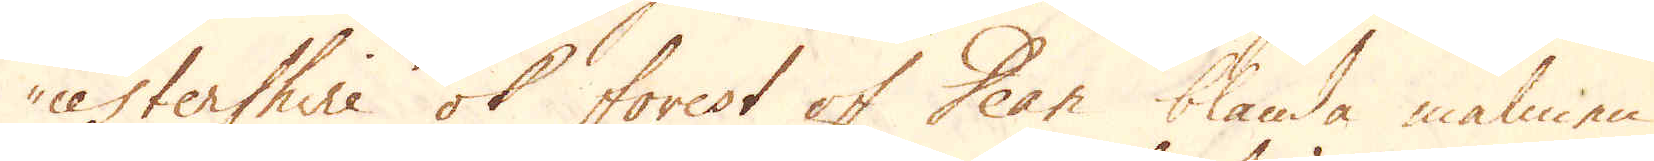cestershire ok forest of Dean blanda malmen
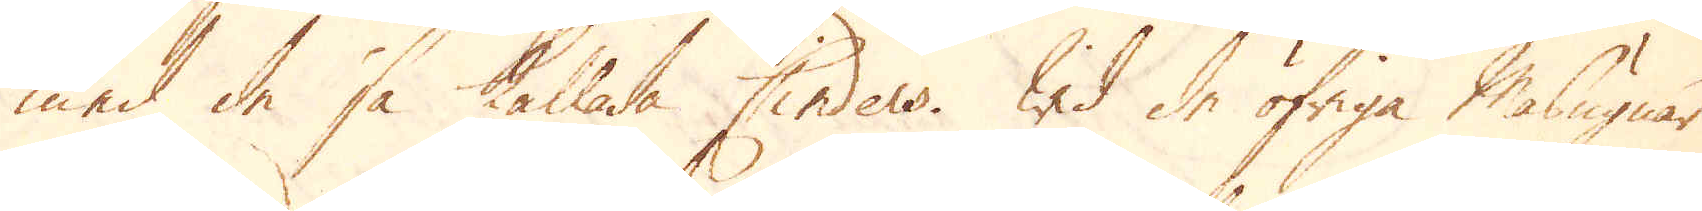med de så kallade Cinders. Wid de öfriga Masugnar
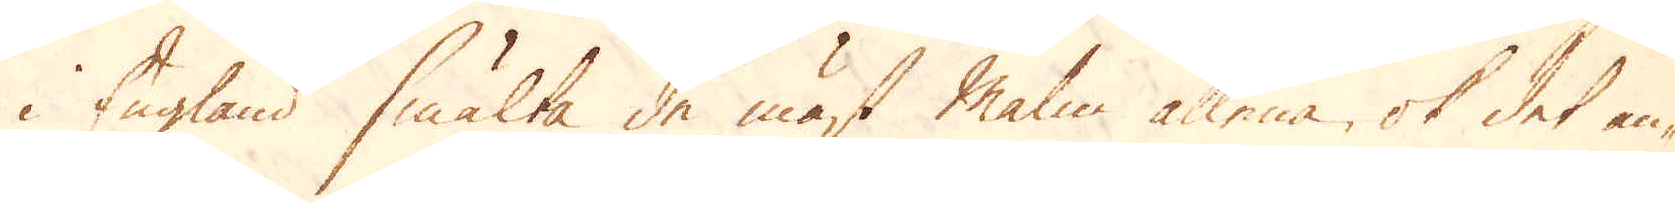i England smälta de mäst Malm allena, ok det an-
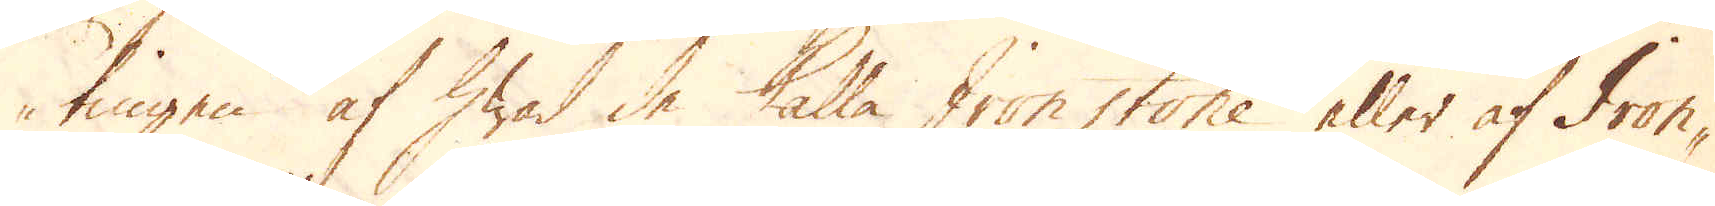tingen af hwad de kalla Iron stone eller af Iron-
